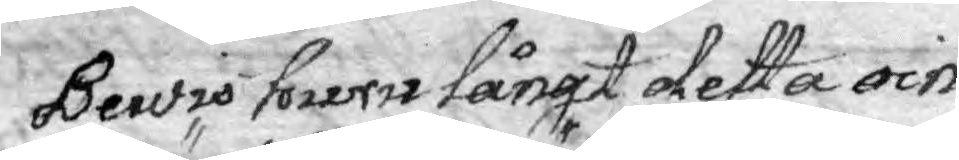Bewis huru långt detta oin¬
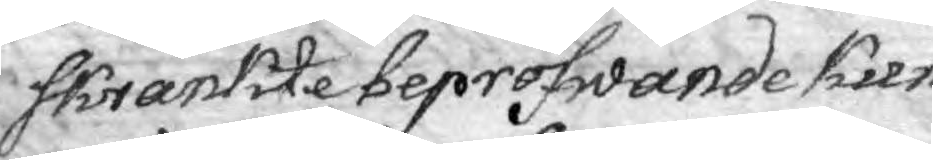skränkte bepröfwande kun¬
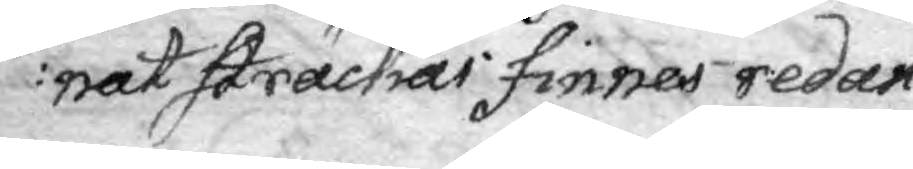nat sträckas finnes redan
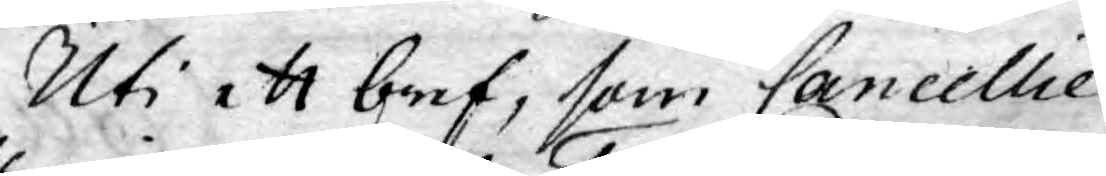Uti ett bref, som Cancellie
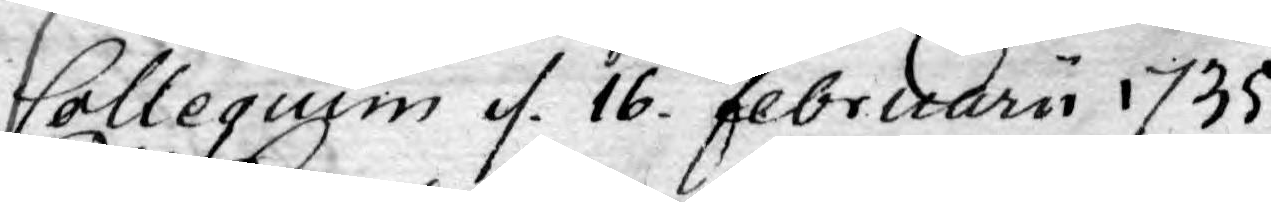Collegium d. 16. Februarii 1735
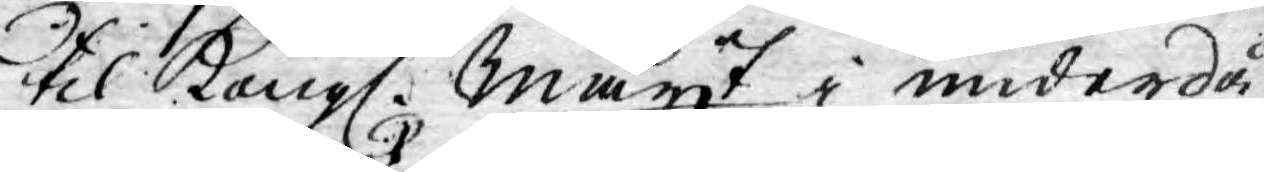til Kongl. Mayt i underdå¬
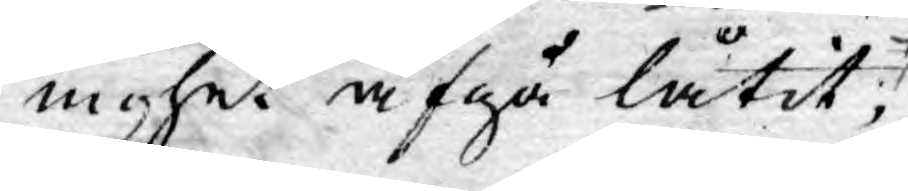nighet afgå låtit;
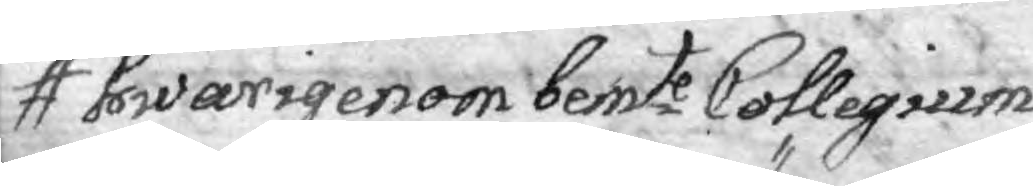hwarigenom bemte Collegium
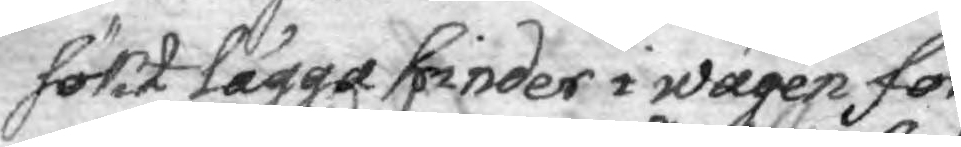sökt lägga hinder i wägen för
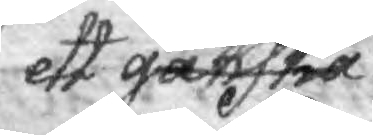ett ganska
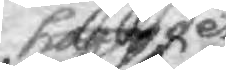han g det
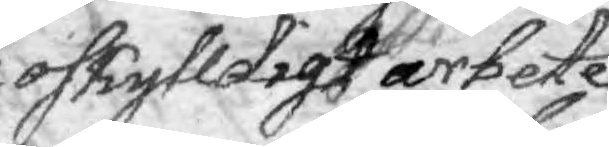oskylldigte arbete
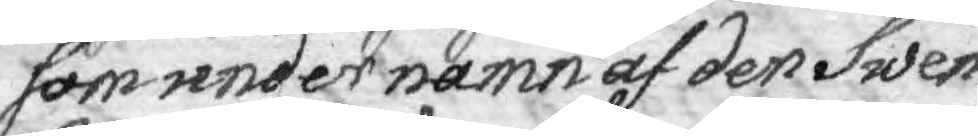som under namn af der Swen¬
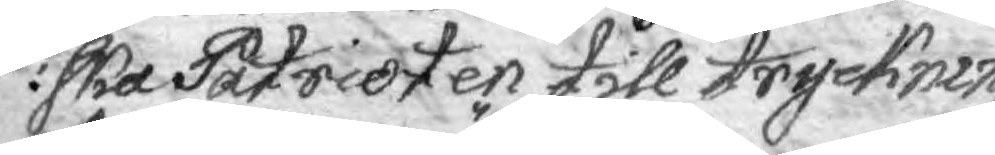ska Patrioten till tryckning
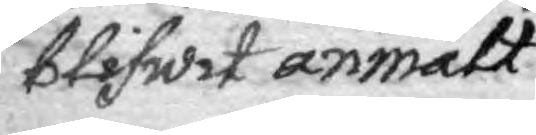blifwit anmält
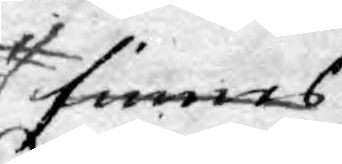finnes
